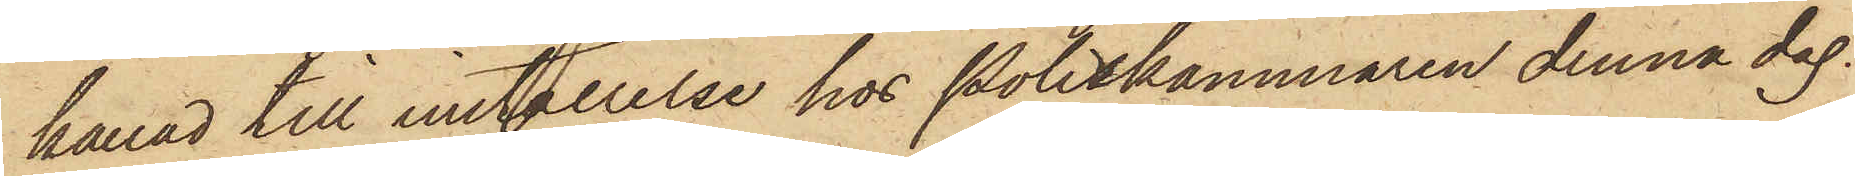kallad till inställelse hos Poliskammaren denna dag.
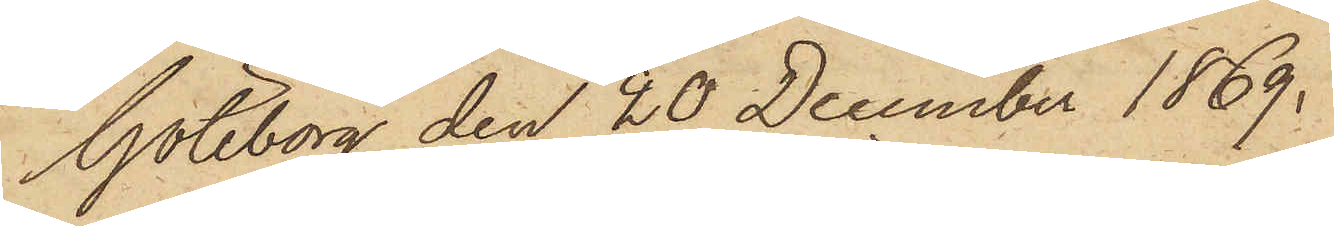Göteborg den 20 December 1869.
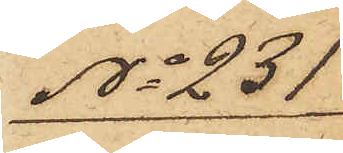No 231
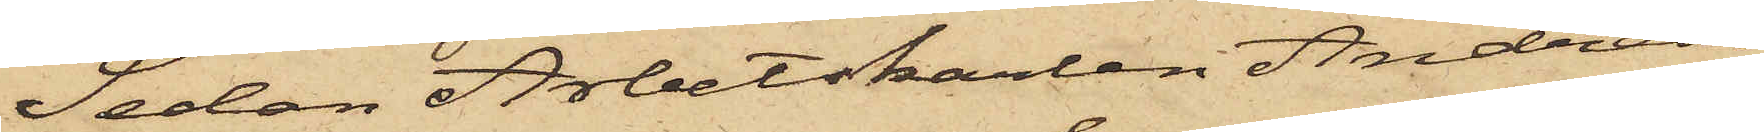Sedan Arbetskarlen Andreas
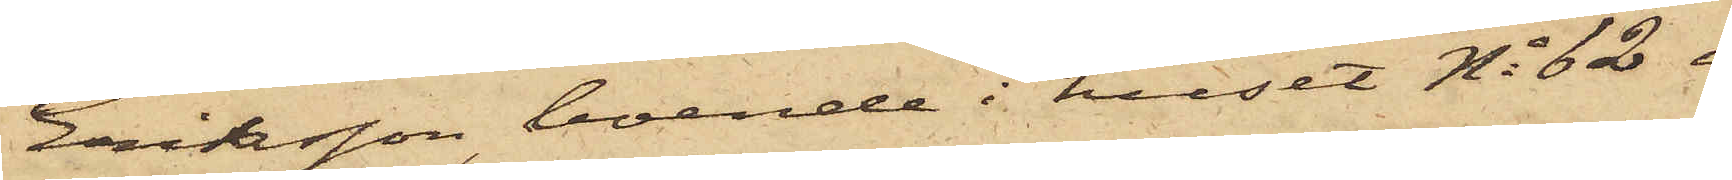Eriksson, boende i huset No 62 i
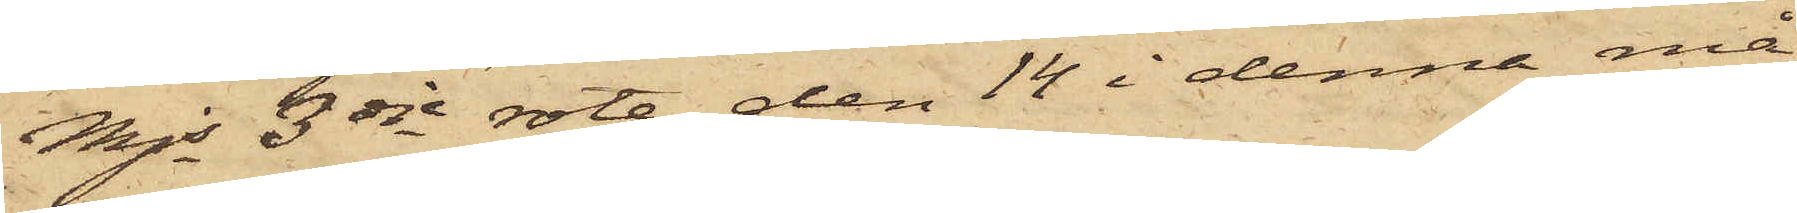Mjs 3dje rote, den 14 i denna må¬
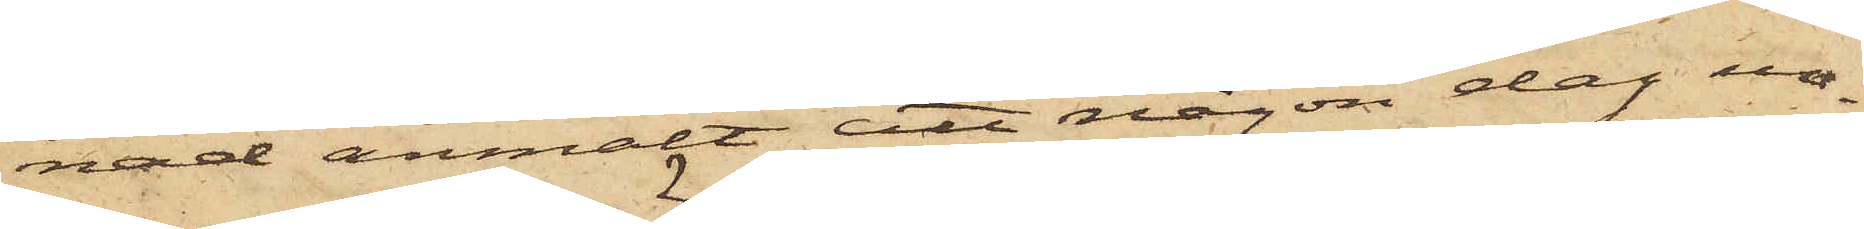nad anmält att någon dag un¬
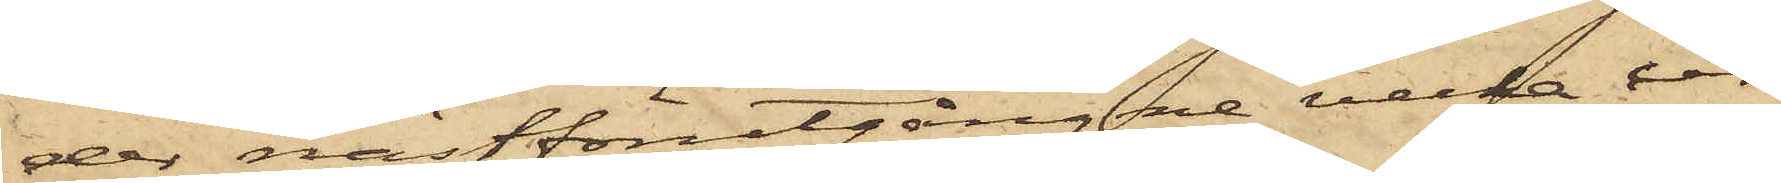der nästförutgångne vecka ur
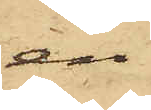en
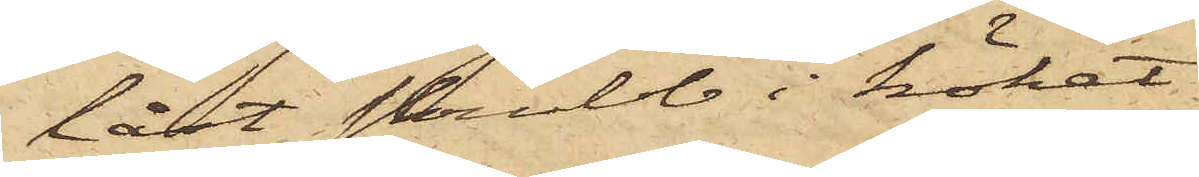låst skrubb i köket
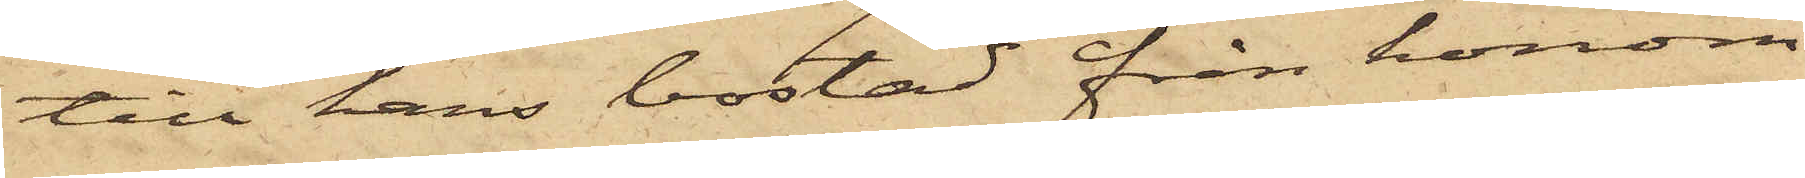till hans bostad från honom
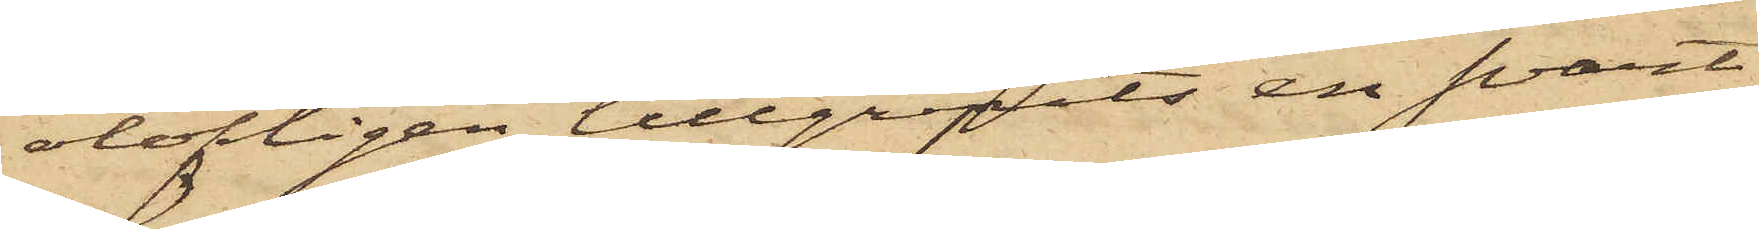olofligen tillgripits en svart
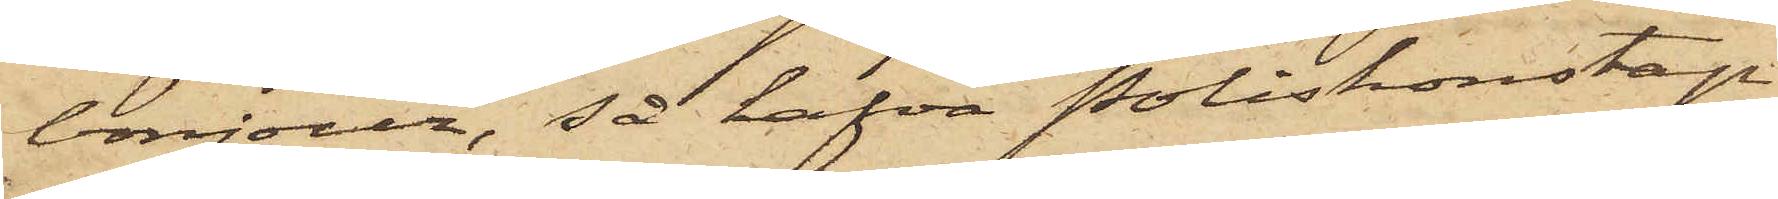bonjour, så hafva Poliskonstap¬
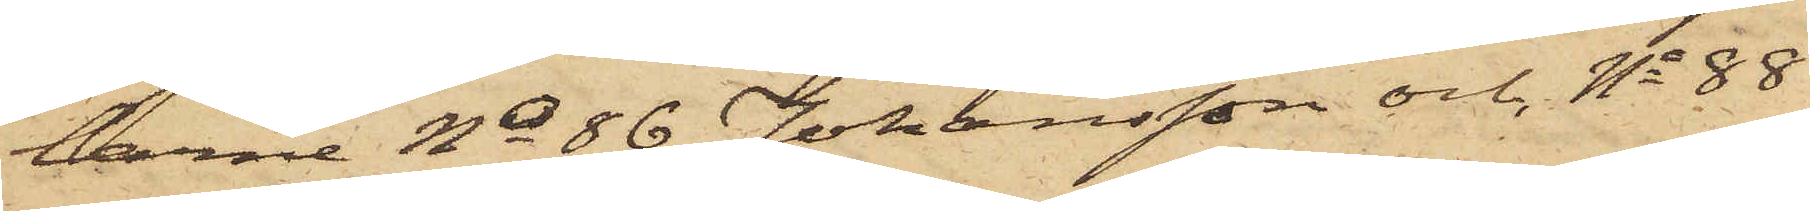larne No 86 Johansson och No 88
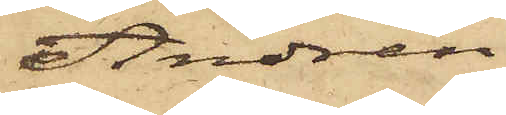Andrén
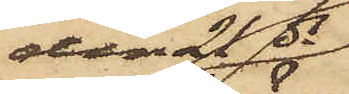den 21 ds
